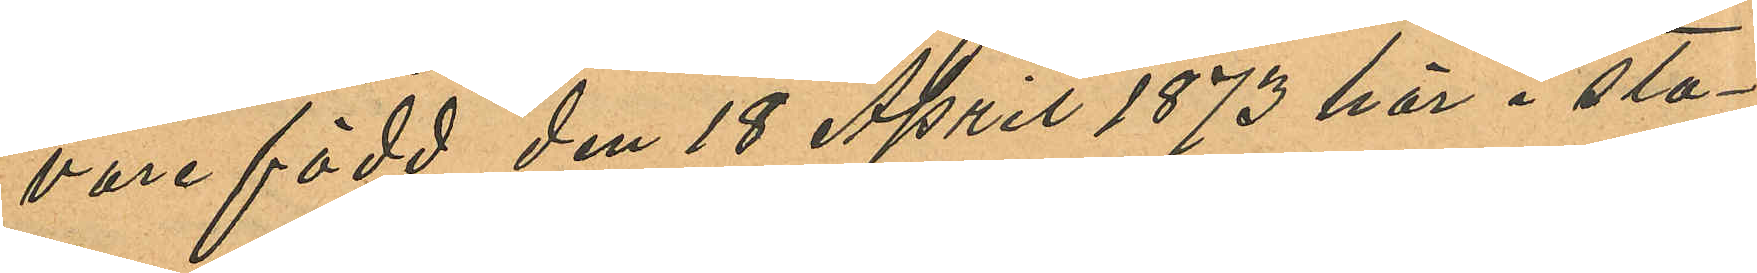vore född den 18 April 1873 här i sta¬
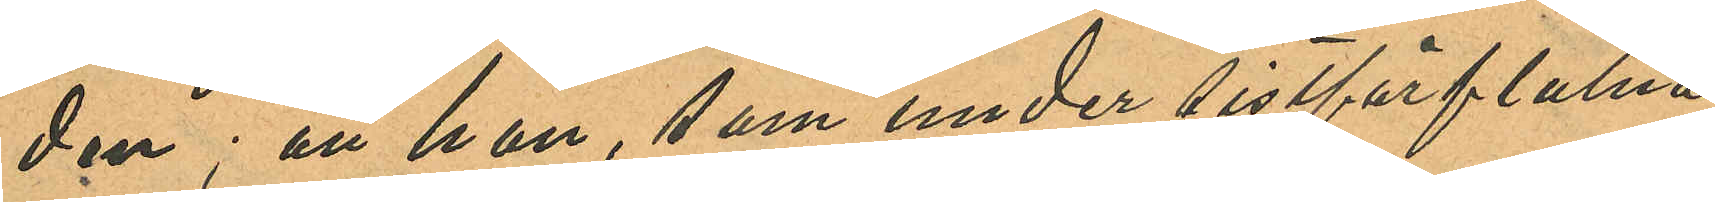den; att hon, som under sistförflutna
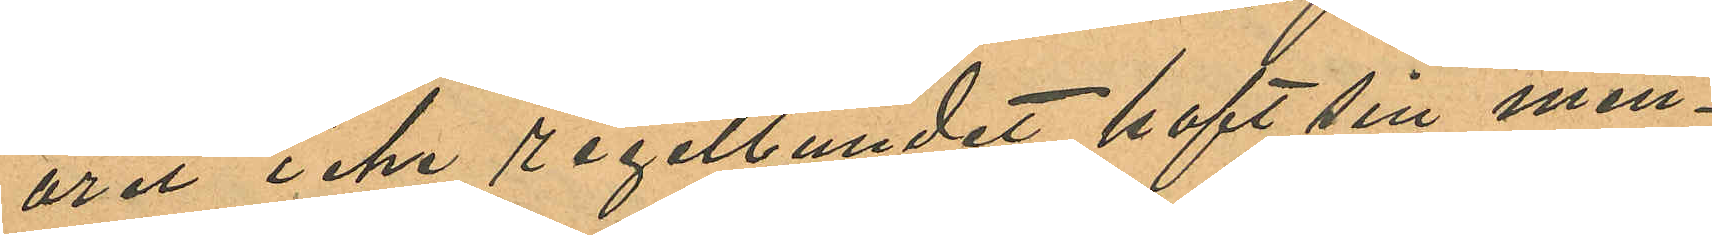året icke regelbundet haft sin men¬
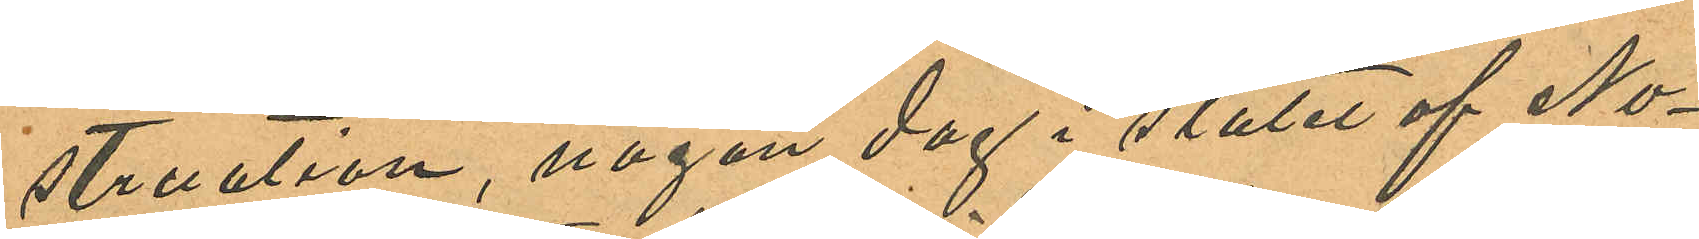struation, någon dag i slutet af No¬
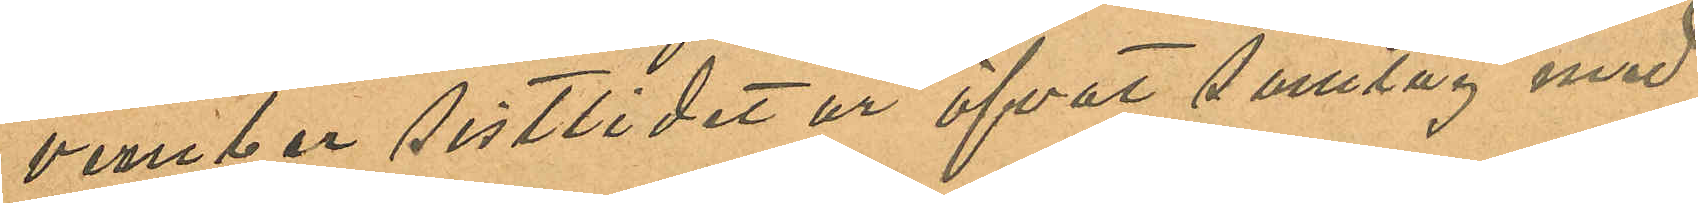vember sistlide år öfvat samlag med
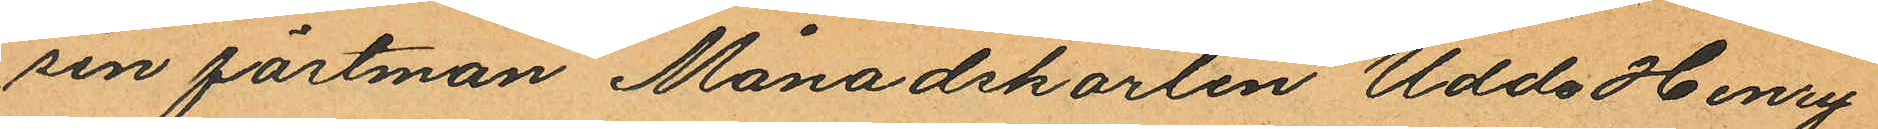sin fästman Månadskarlen Uddo Henry
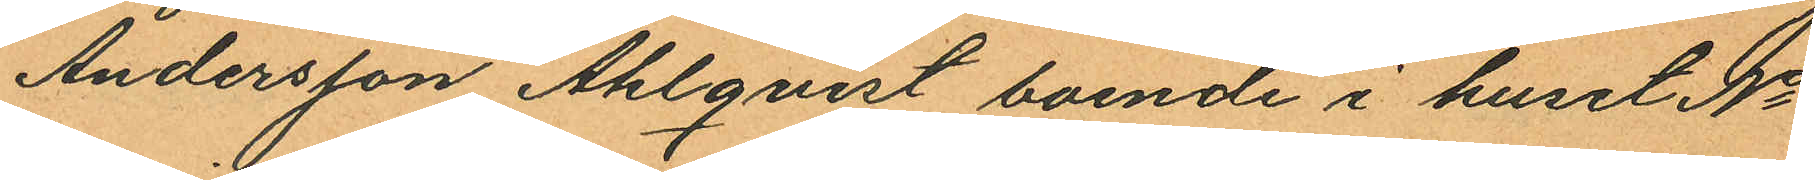Andersson Ahlqvist boende i huset No
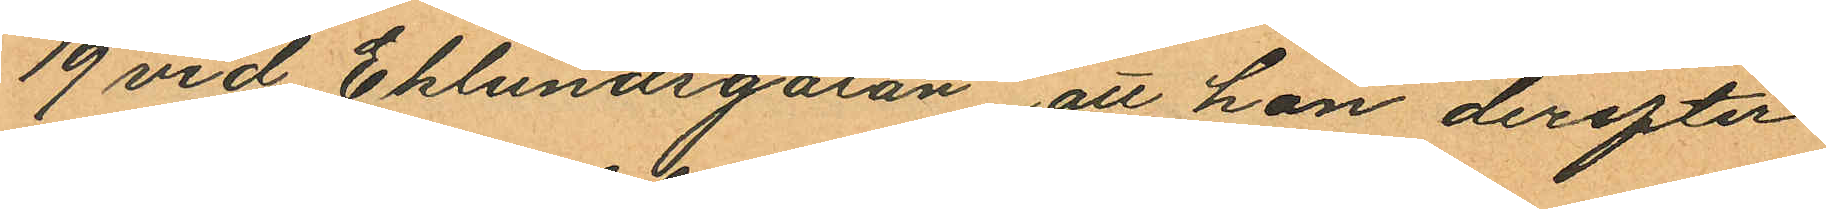19 vid Eklundsgatan att hon derefter
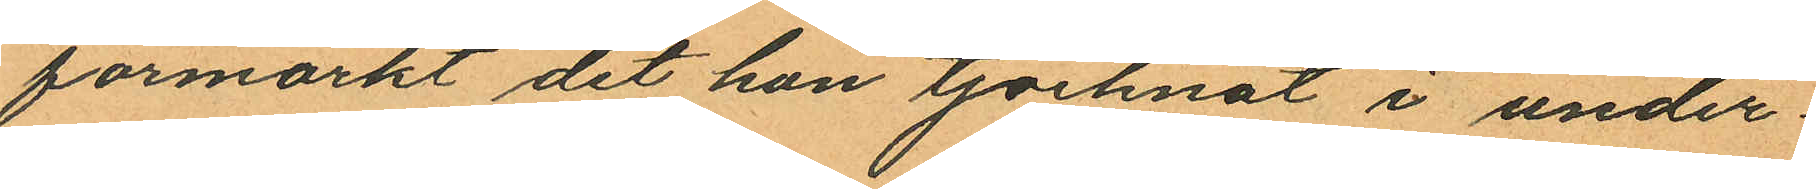förmärkt det hon tjocknat i under¬
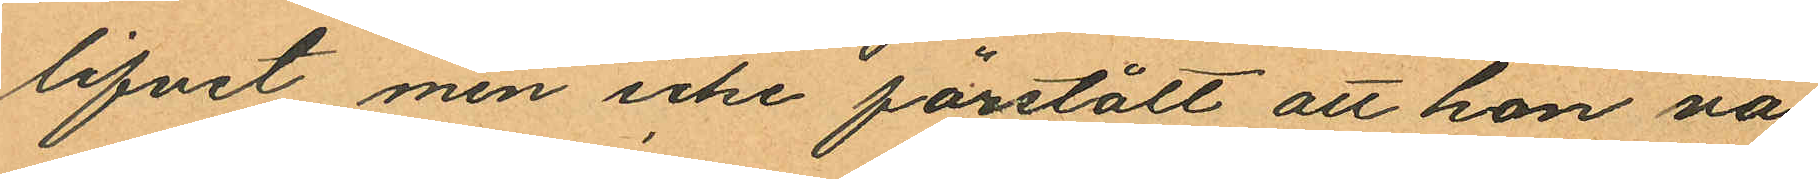lifvet men icke förstått att hon va¬
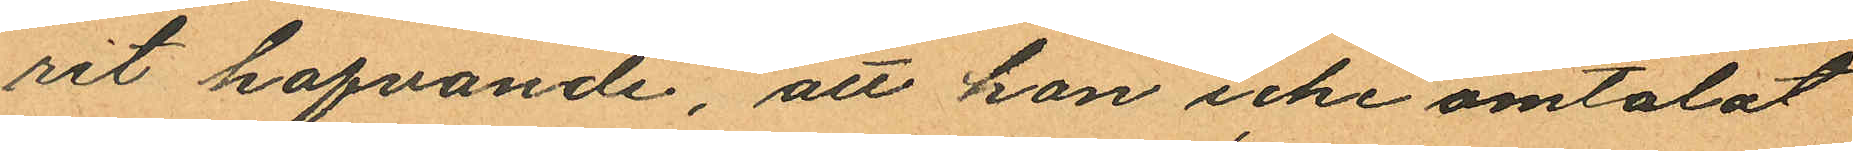rit hafvande, att hon icke omtalat
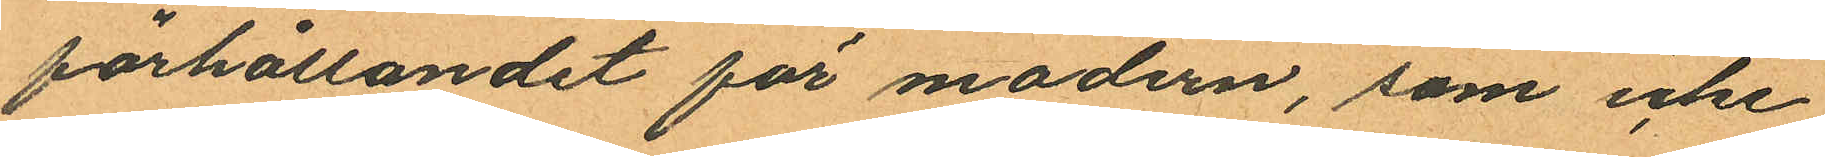förhållandet för modern, som icke
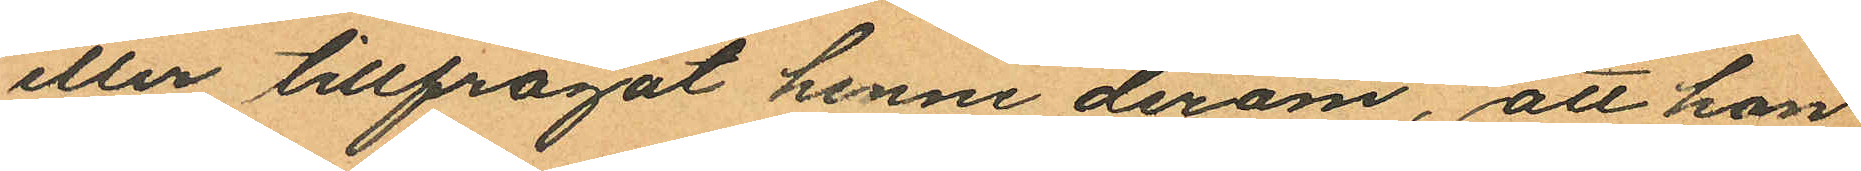eller tillfrågat henne derom, att hon
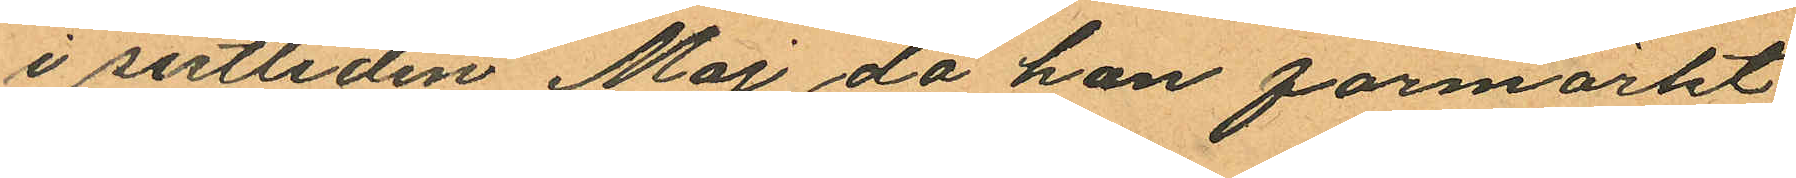i sistliden Maj då han förmärkt
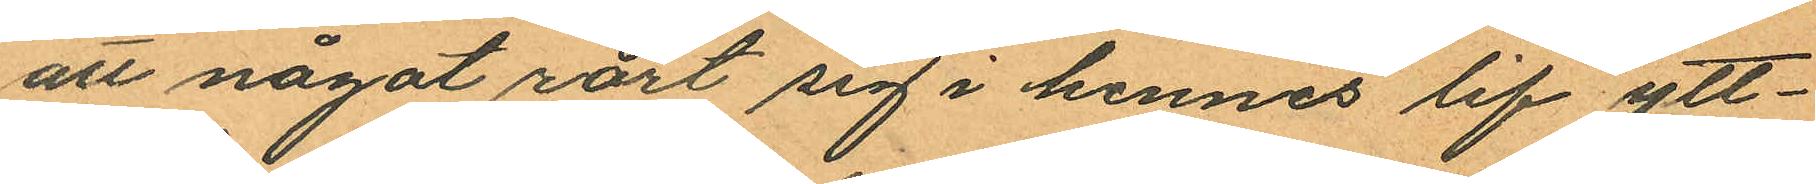att något rört sig i hennes lif ytt¬
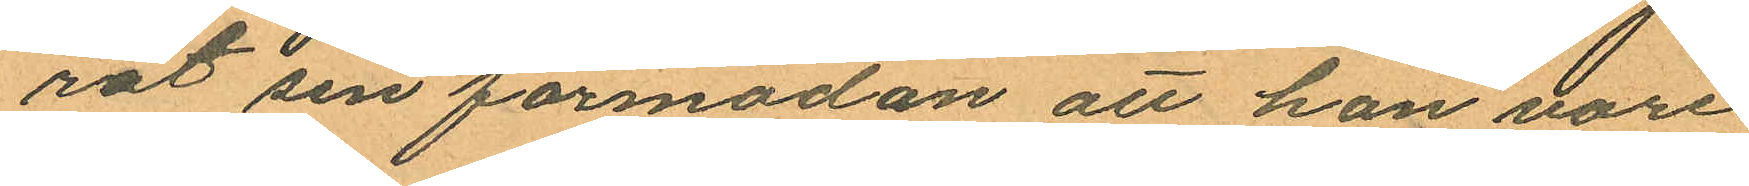rat sin förmodan att hon vore
